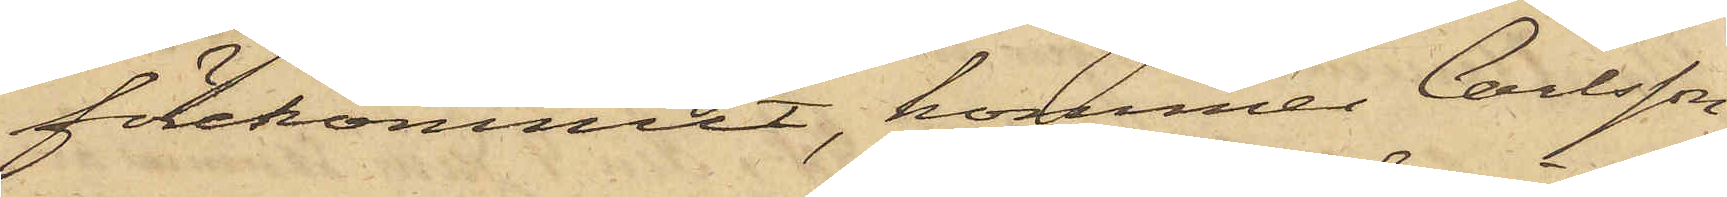förekommit, kommer Carlsson
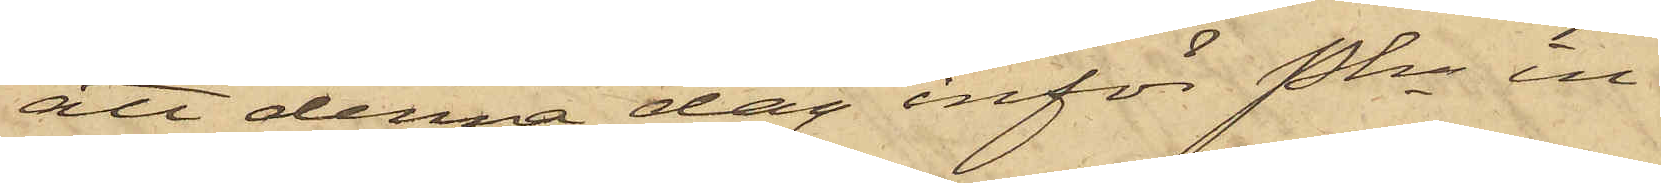att denna dag inför Pkn in¬
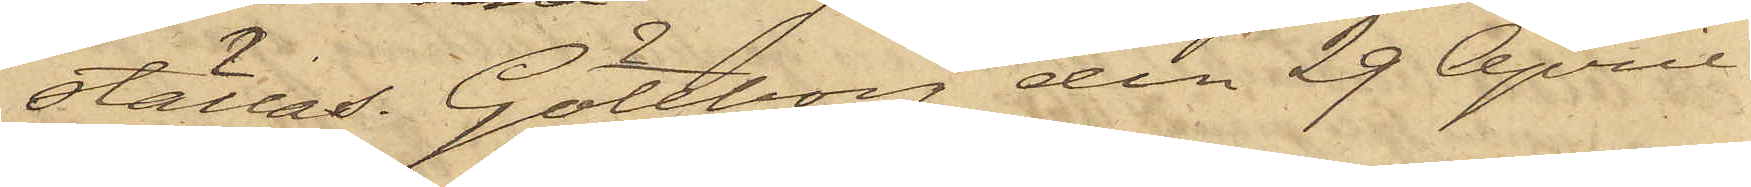ställas. Göteborg den 29 April
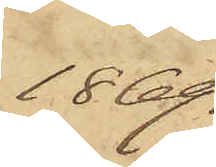1869.
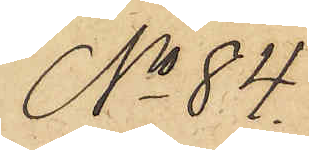No 84.
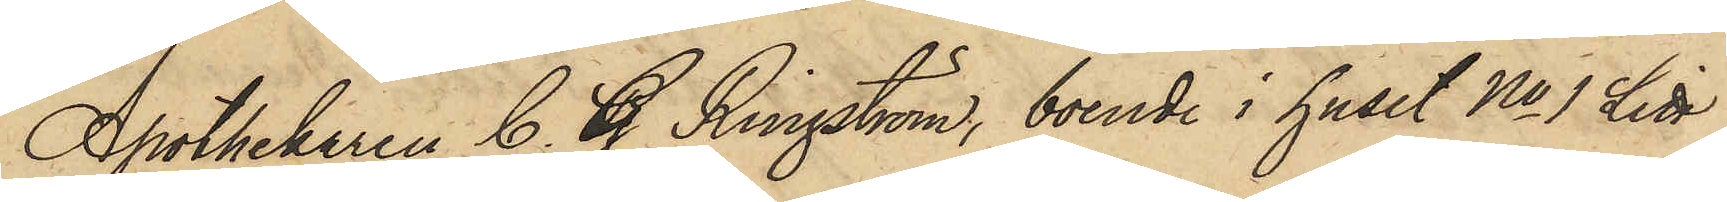Apothekaren C. G. Ringström, boende i huset No 1 Litt
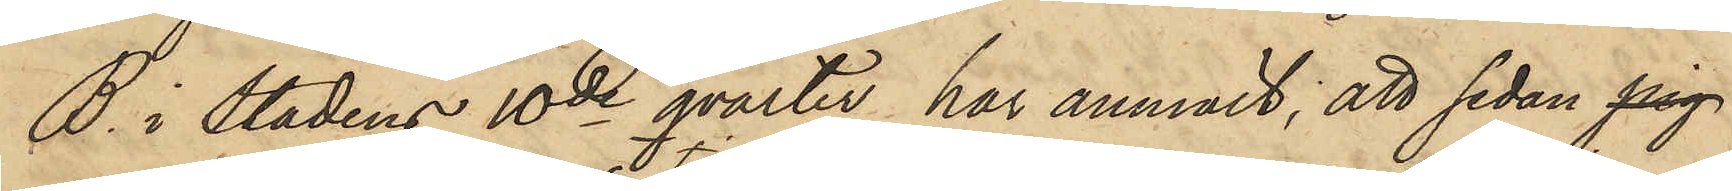B. i stadens 10de qvarter har anmält; att sedan pig
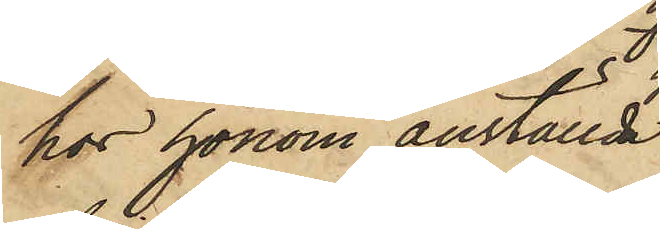hos honom anställda
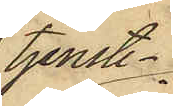tjenste¬
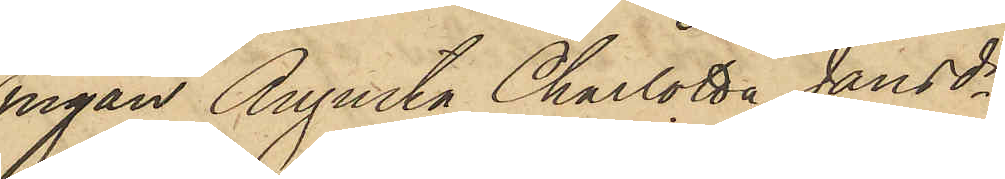pigan Augusta Charlotta Jansdr,
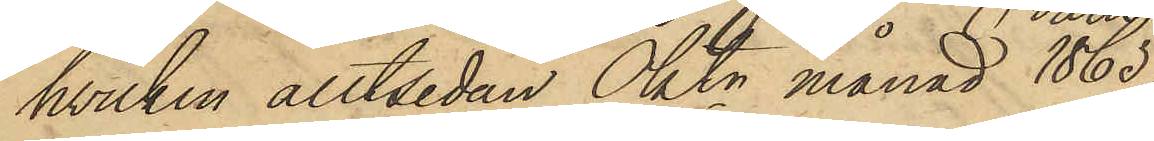hvilken alltsedan Oktr månad 1865
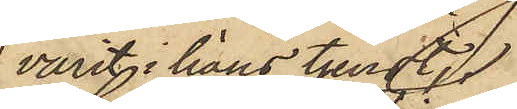varit i hans tjenst,
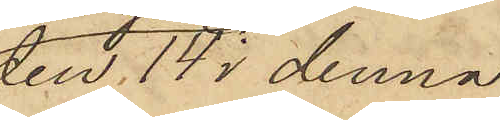den 14 i denna
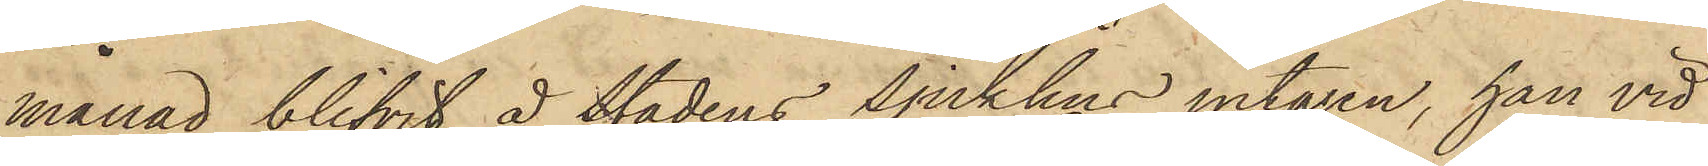månad blifvit å Stadens Sjukhus intagen, han vid
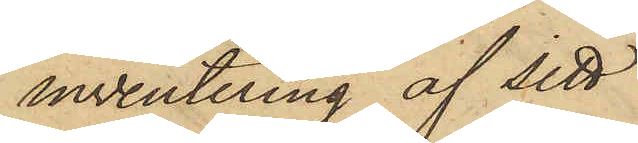inventering af sitt
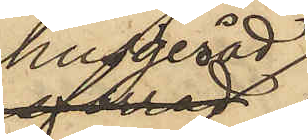husgeråd
